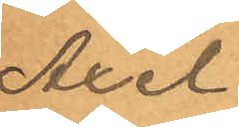Axel
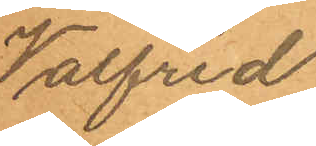Valfrid
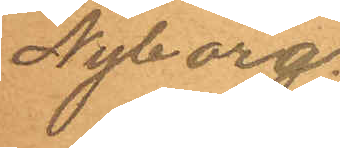Nyborg.
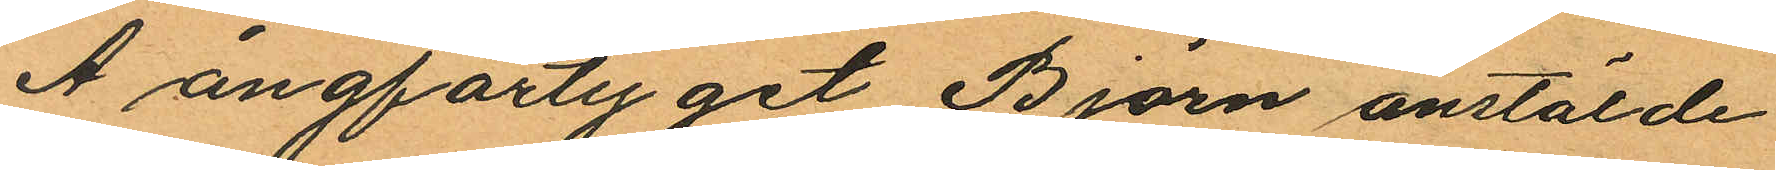Å ångfartyget Björn anstälde
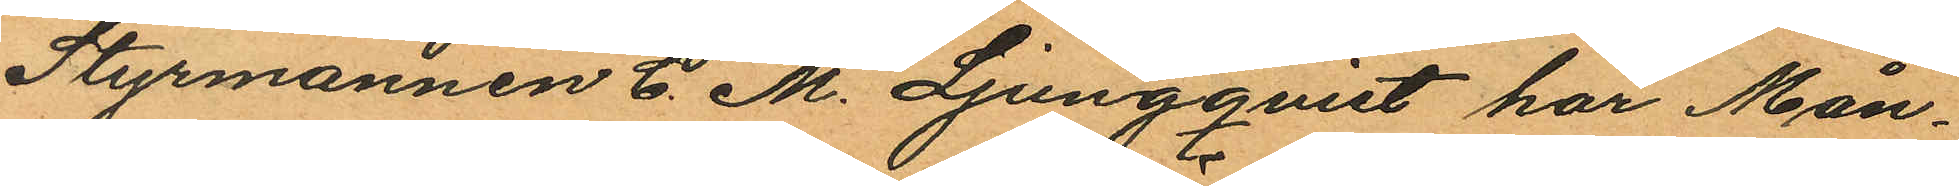Styrmannen C. M. Ljungqvist har Mån¬
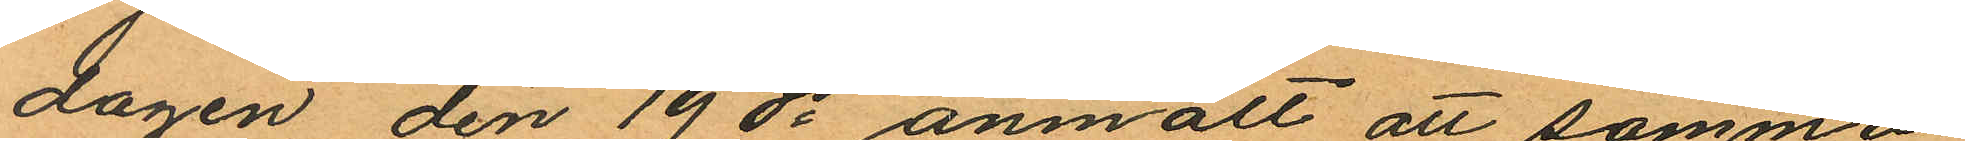dagen den 19 ds anmält att samma
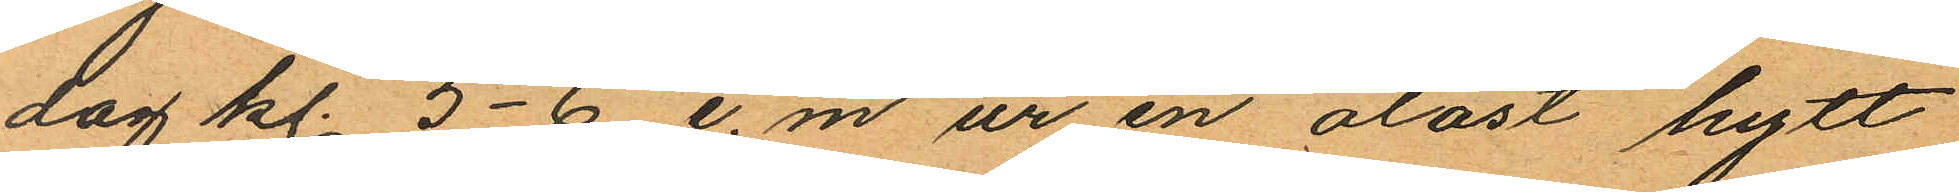dag kl. 5-6. e.m. ur en olåst hytt
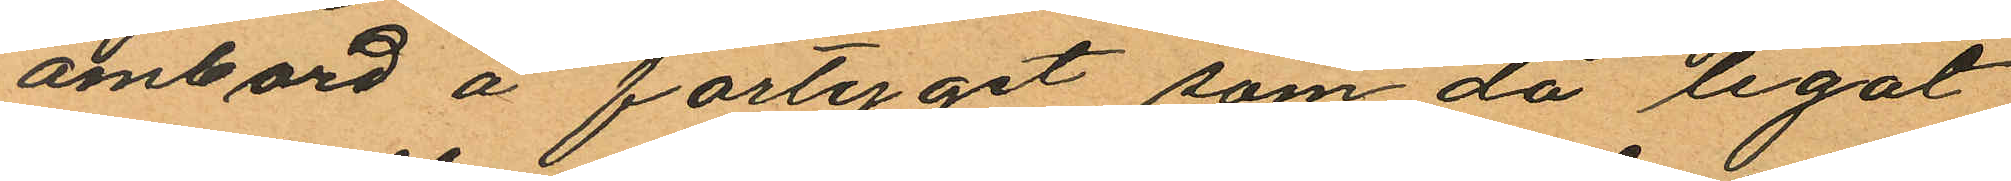ombord å fartyget, som då legat
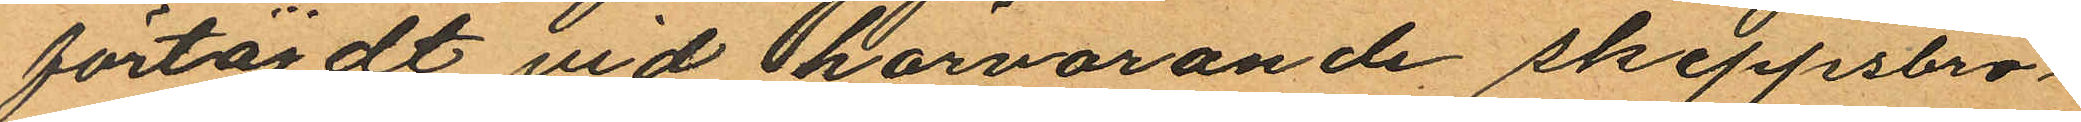förtöjdt vid härvarande skeppsbro¬
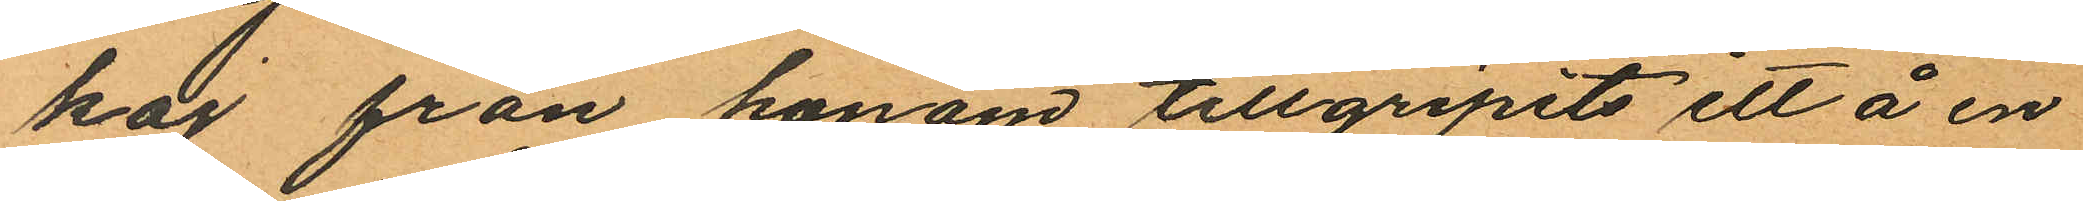kaj från honom tillgripits ett å en
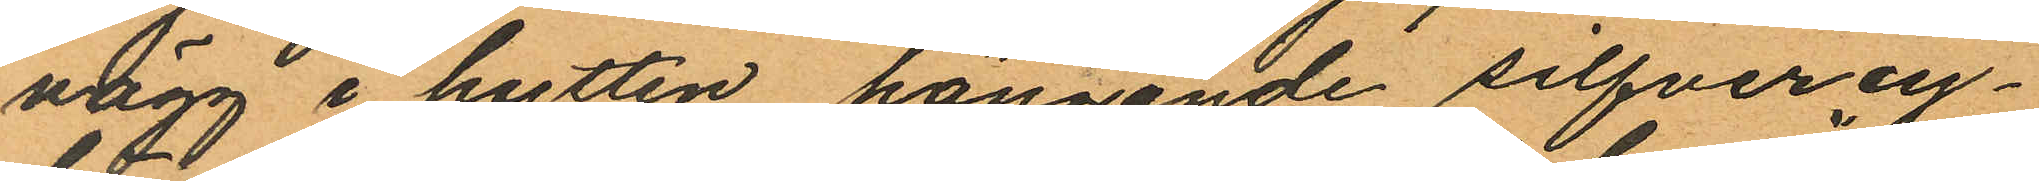vägg i hytten hängande silfvercy¬
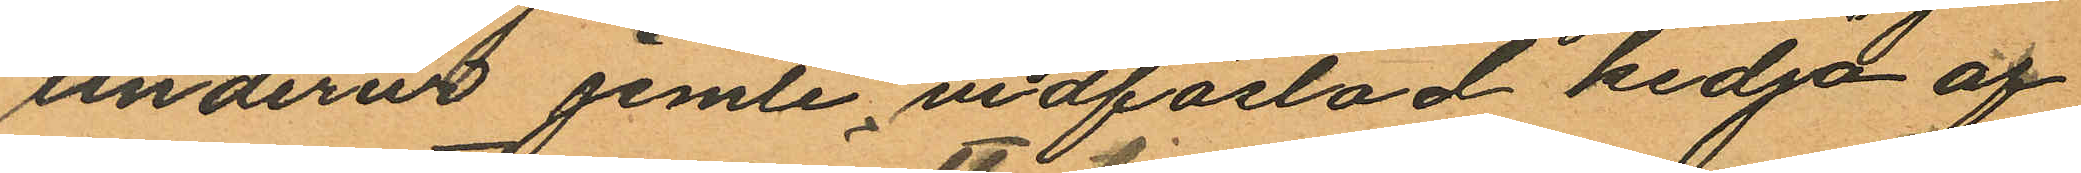linderur jemte vidfästad kedjd af
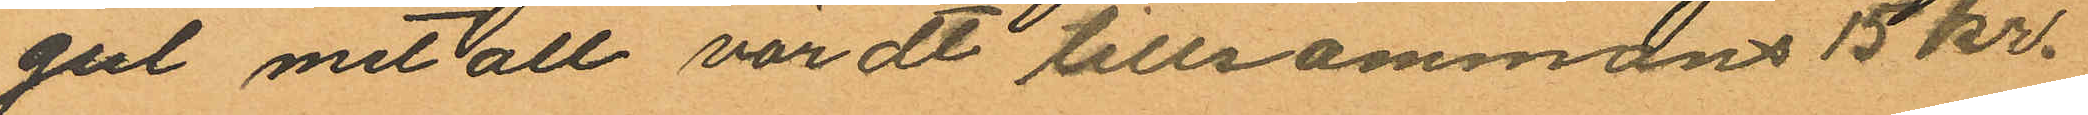gul metall värdt tillsammans 15 kr.
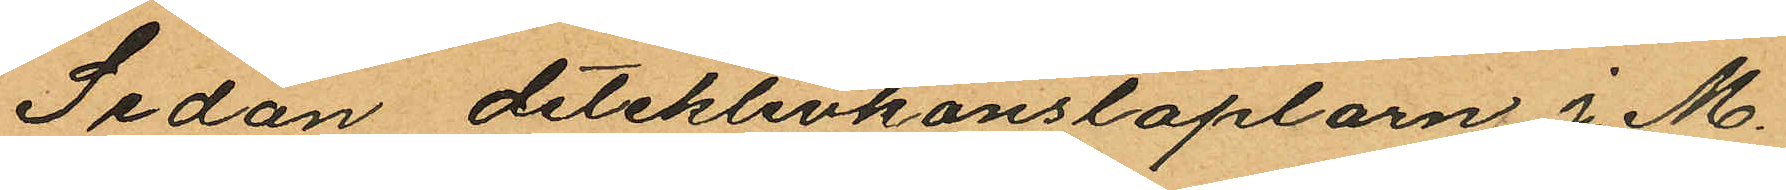Sedan detektivkonstaplarn J. M.
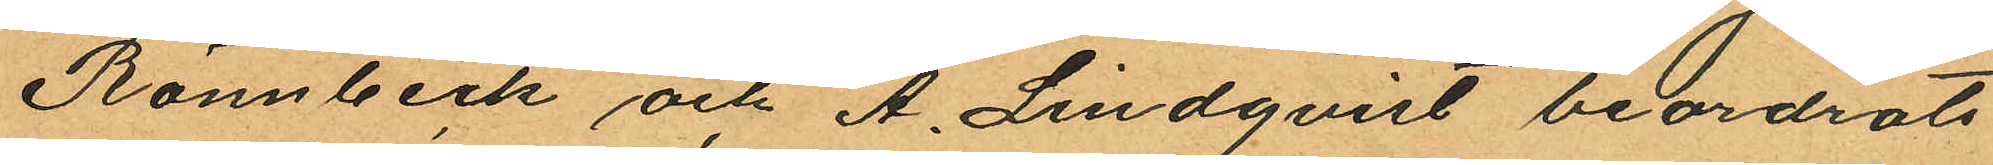Rönnbeck och A. Lindqvist beordrats
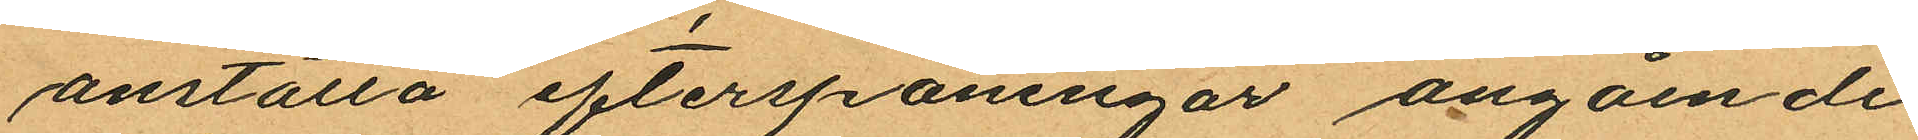anställa efterspaningar angående
